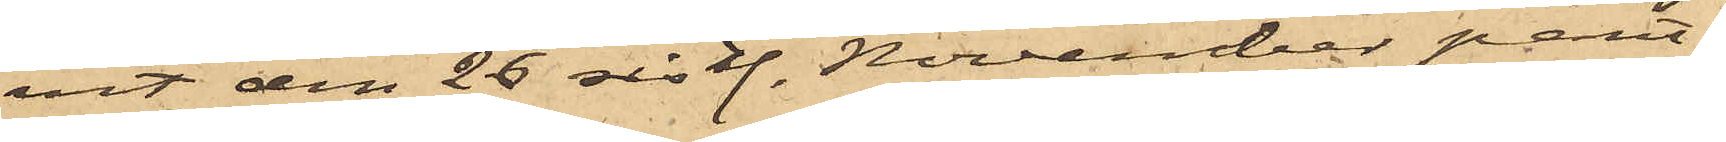vit den 26 sist. November pant¬
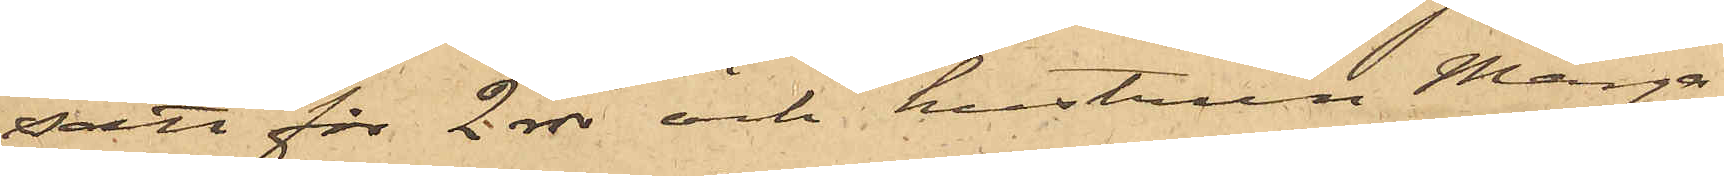satt för 2 rdr och hustrun Marga¬
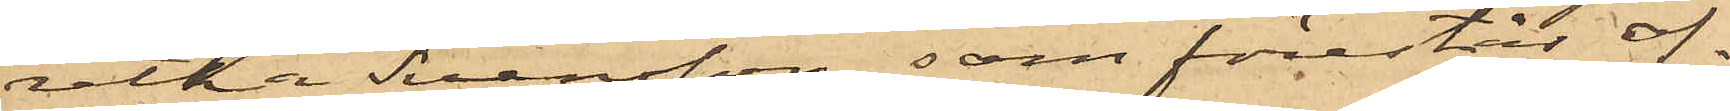retha Svensson, som förestår of¬
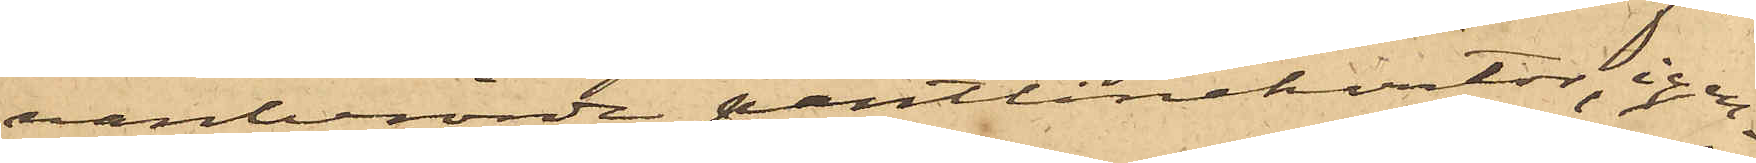vanberörde pantlånekontor, igen¬
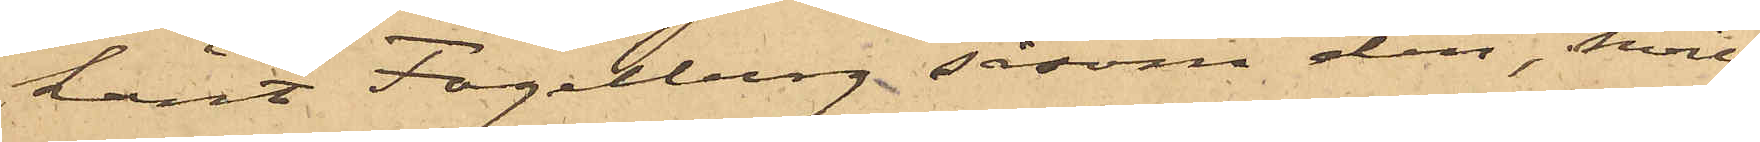känt Fogelberg såsom den, hvil¬
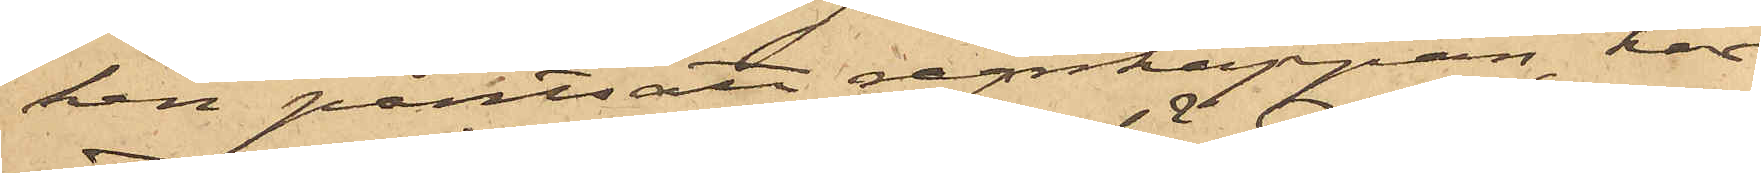ken pantsatt regnkappan, har
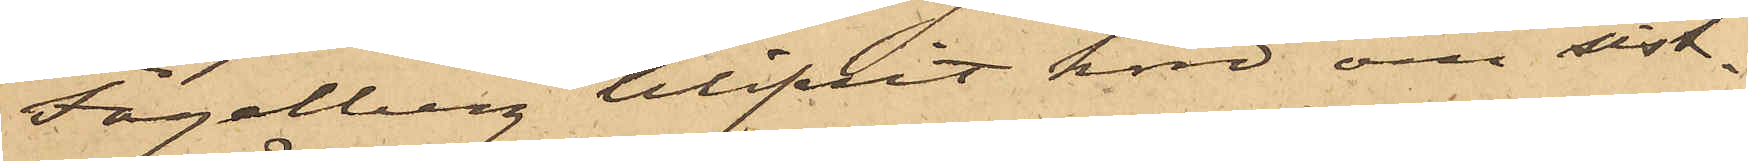Fogelberg blifvit hörd om sist¬
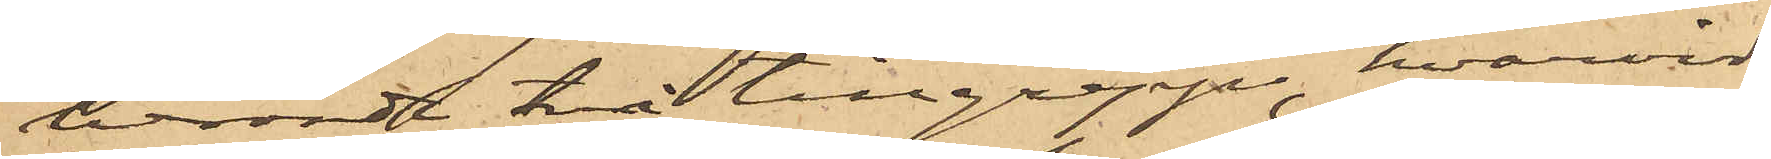berörde två tillgrepp, hvarvid
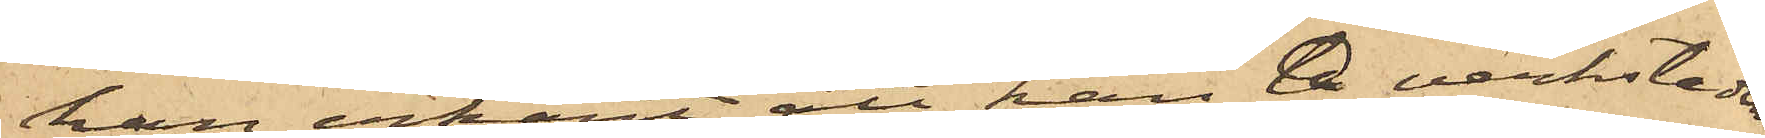han erkänt att han å verkstaden,
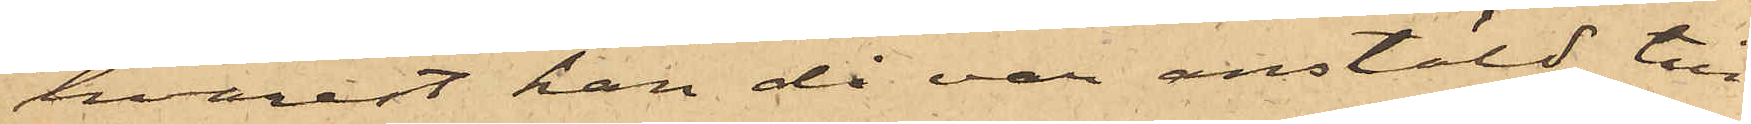hvarest han då var anstäld, till¬
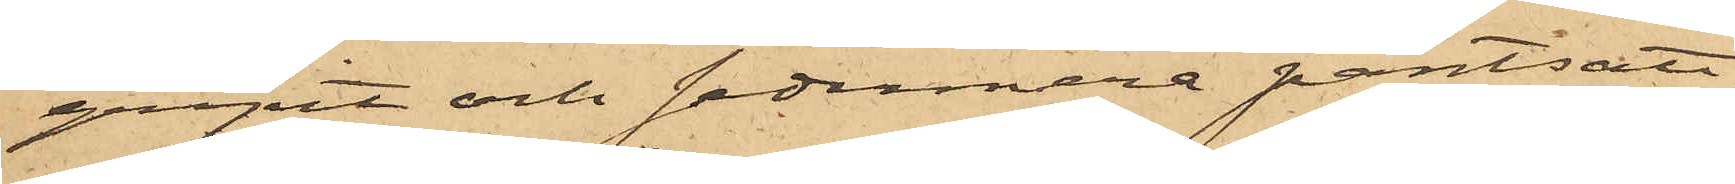gripit och sedermera pantsatt
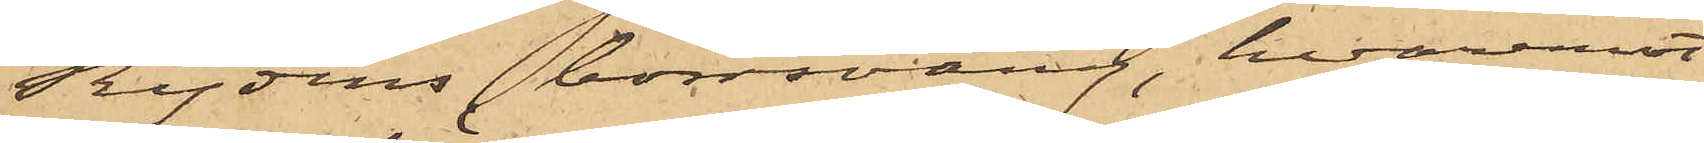Rydins borrsväng, hvaremot
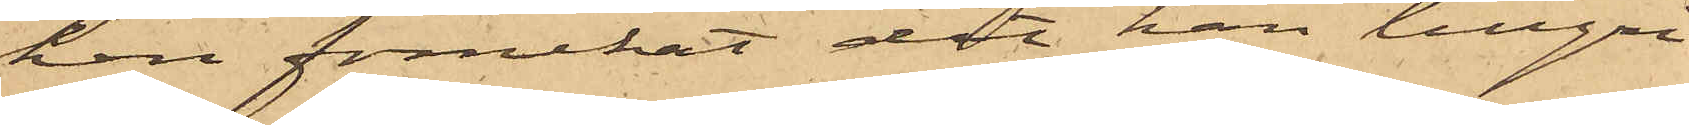han förnekat det han tillgri¬
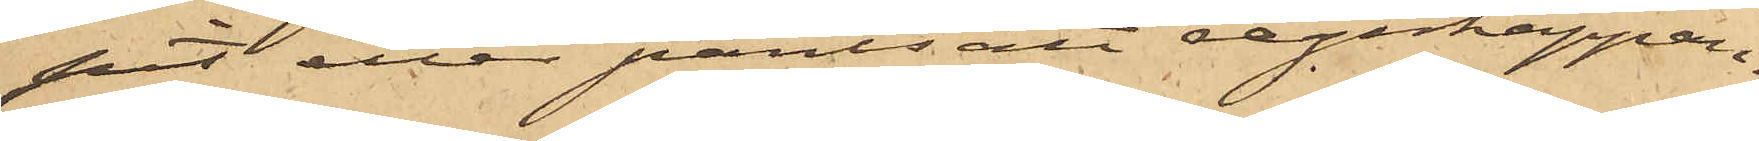pit eller pantsatt regnkappan.
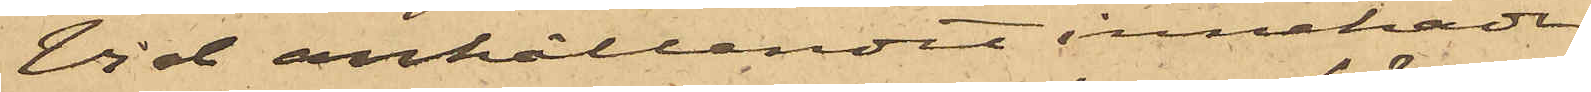Vid anhållandet innehade
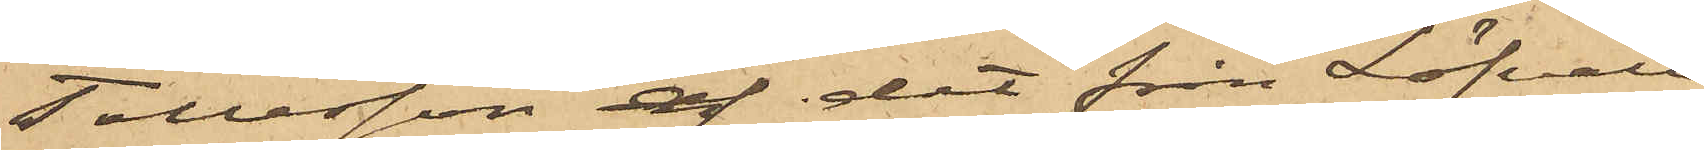Tollesson af det från Löfvall
